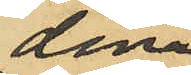dessa;
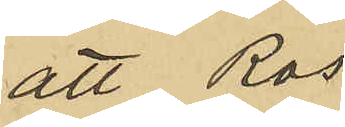att Ros
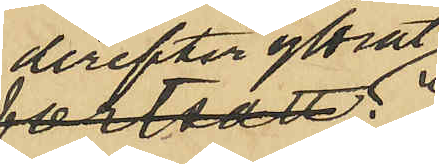derefter yttrat:
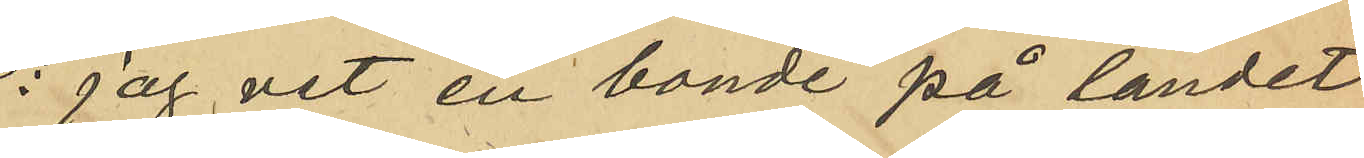"jag vet en bonde på landet
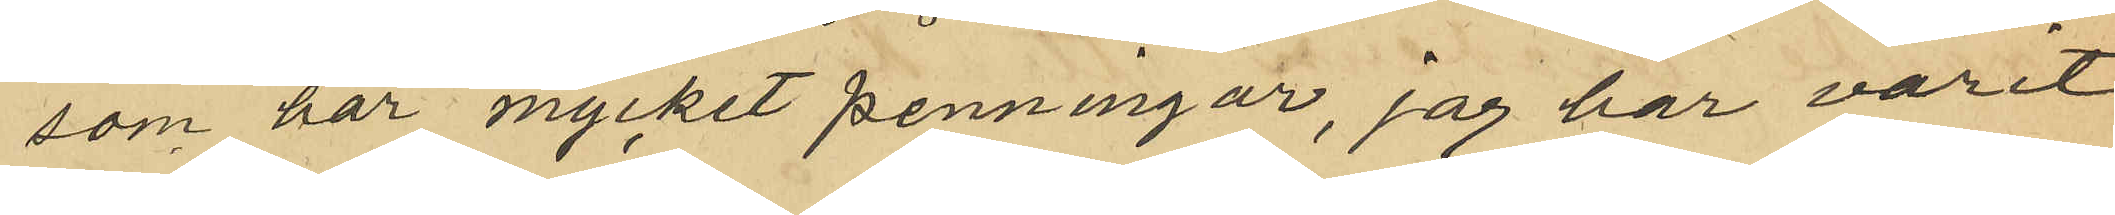som har mycket penningar, jag har varit
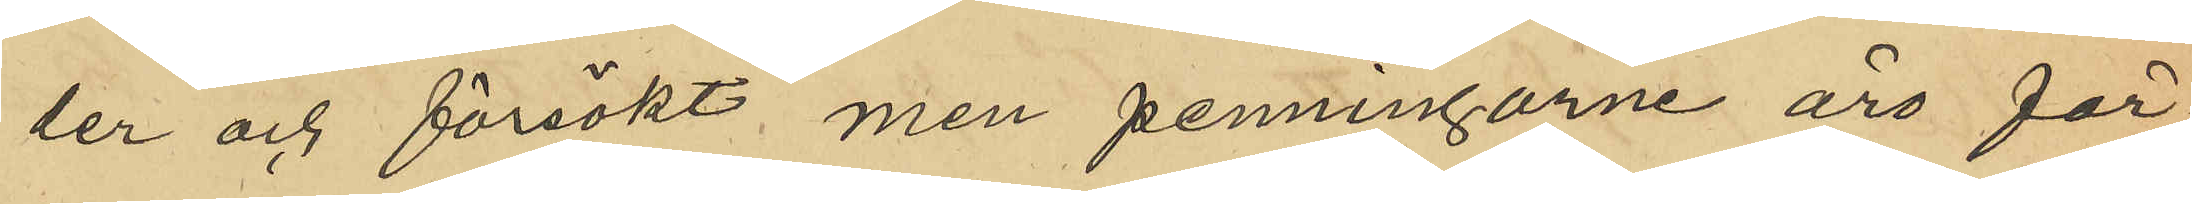der och försökt men penningarne äro för¬
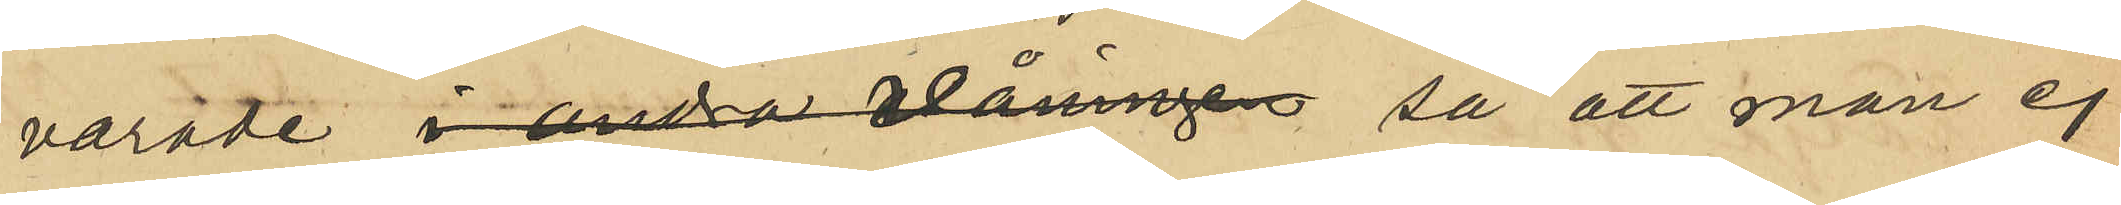varade  i andra våningen så att man ej
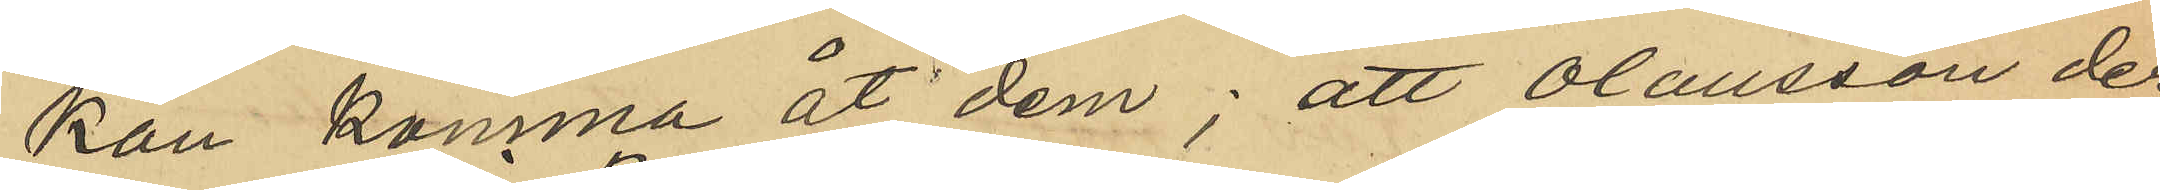kan komma åt dem; att Olausson der¬
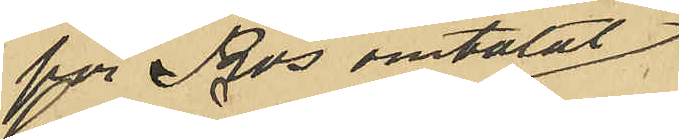för Ros omtalat,
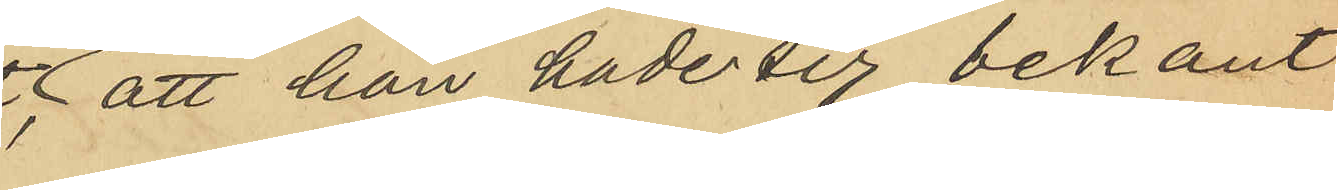att han hade sig bekant
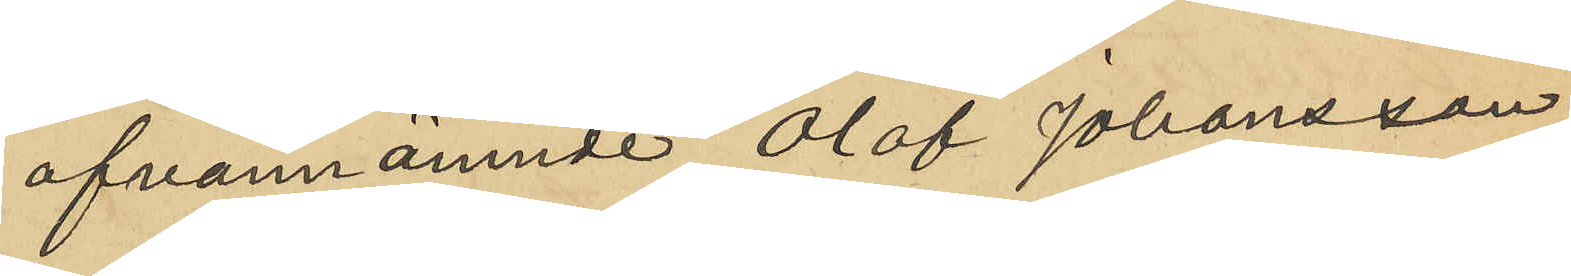ofvannämnde Olof Johansson
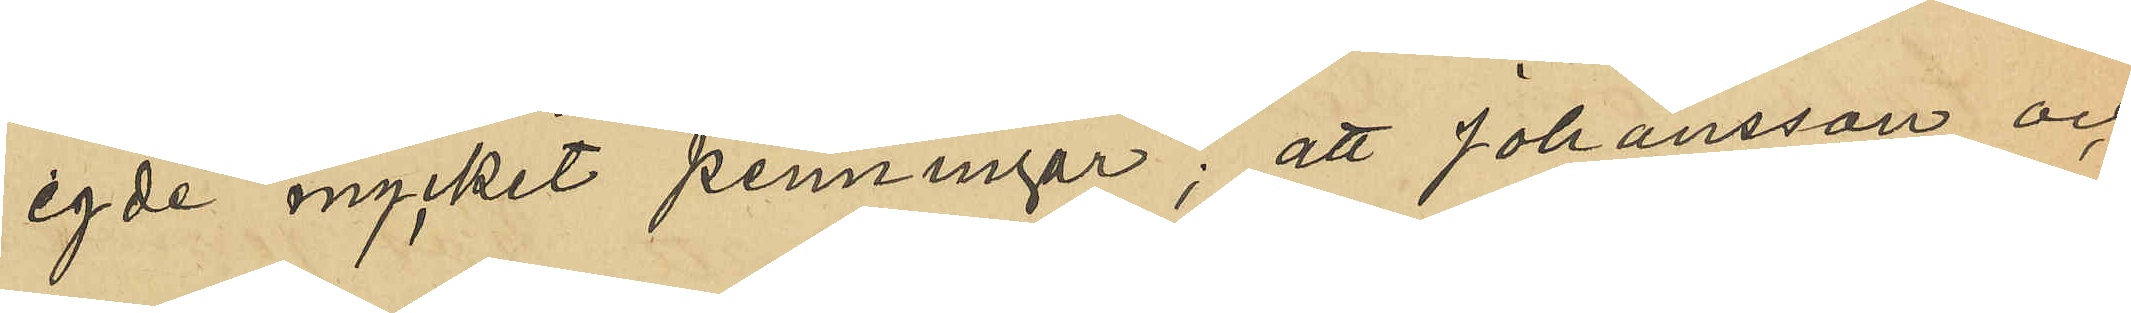egde mycket penningar; att Johansson och
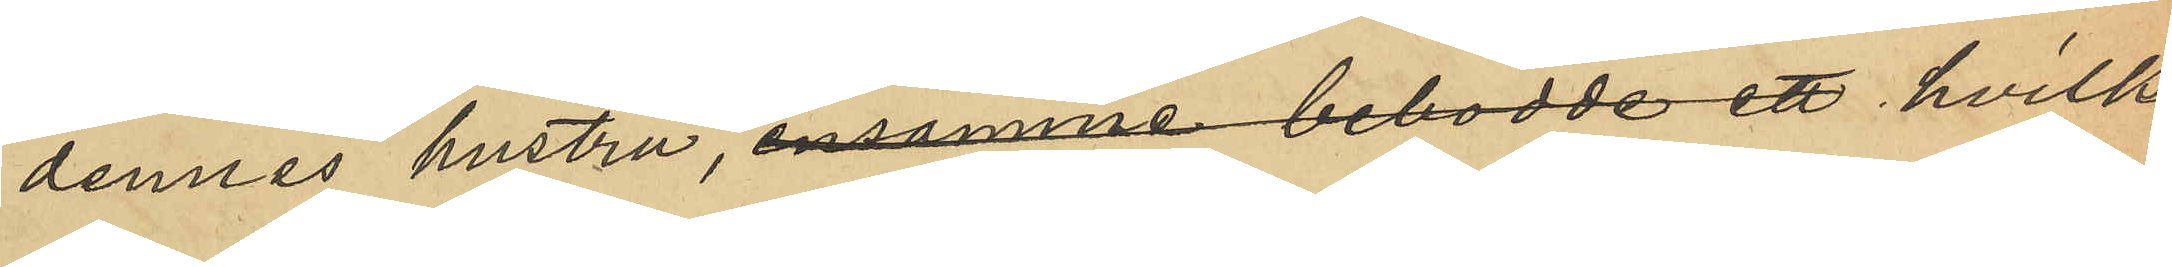dennes hustru, ensamma bebodde ett hvilka
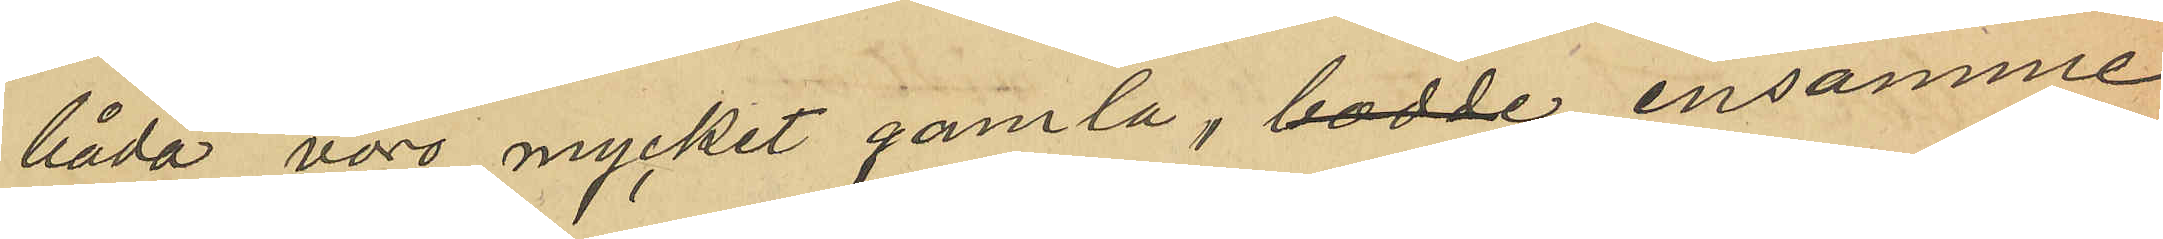båda voro mycket gamla, bodde ensamma
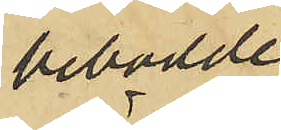bebodde
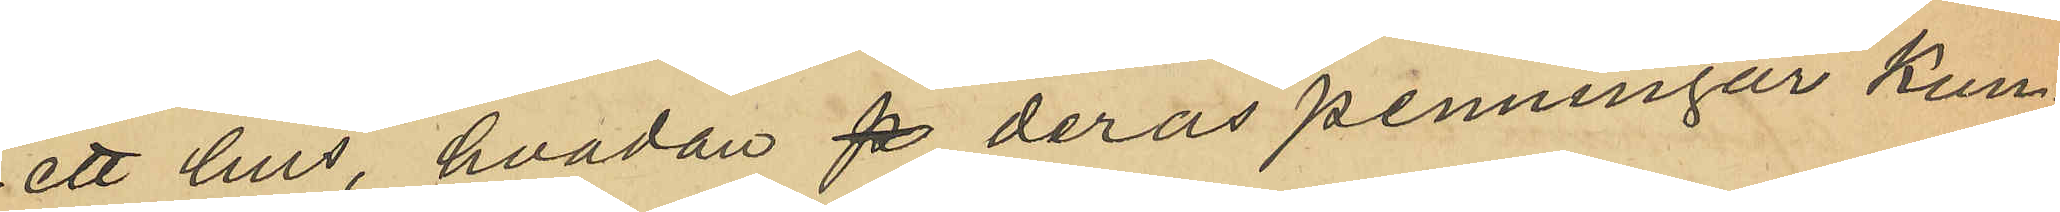ett hus, hvadan p deras penningar kun¬
